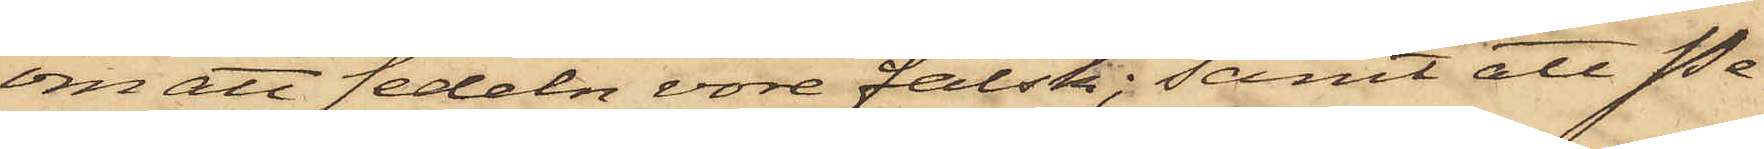om att sedeln vore falsk; samt att Pe¬
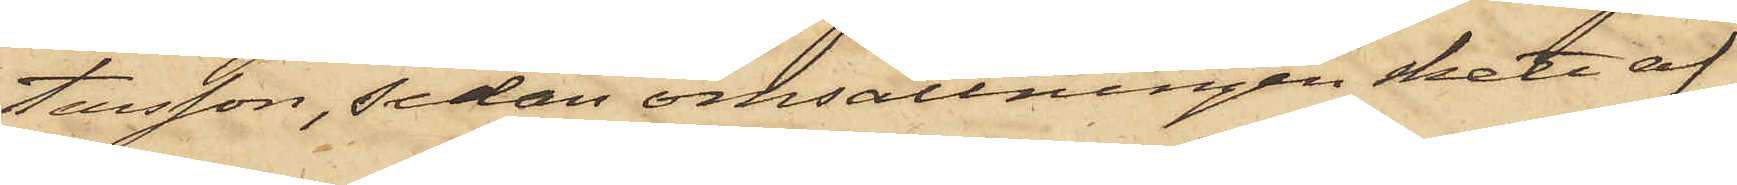tersson, sedan omsättningen skett af
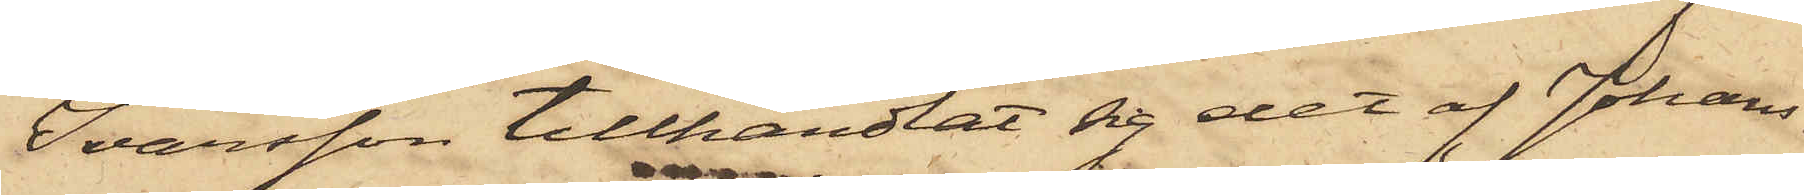Ivarsson tillhandlat sig det af Johans¬
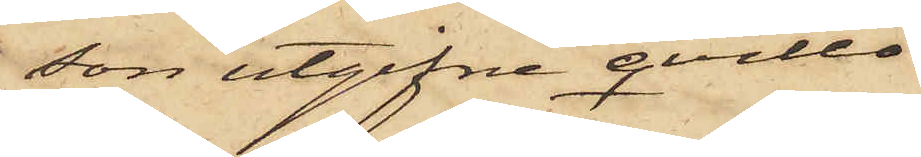son utgifne qvitto.
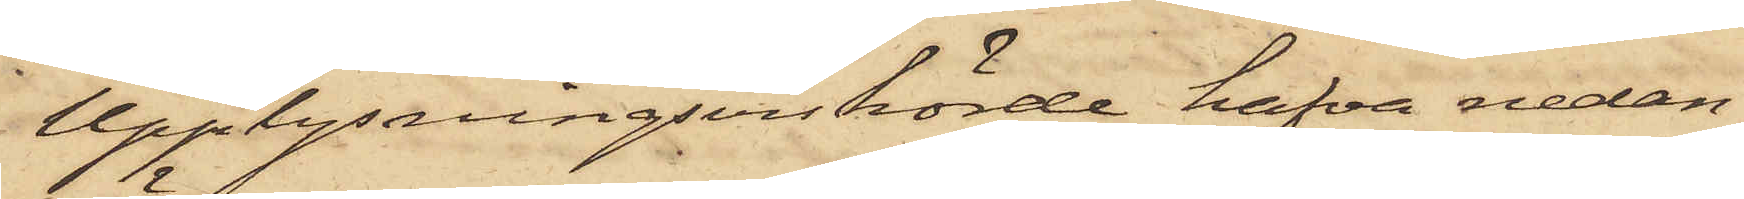Upplysningsvis hörde hafva nedan¬
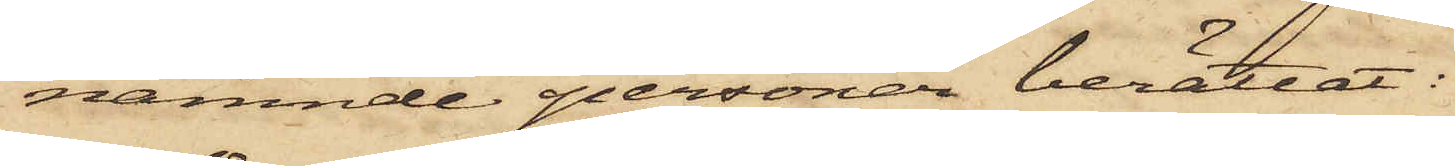nämnde personer berättat:
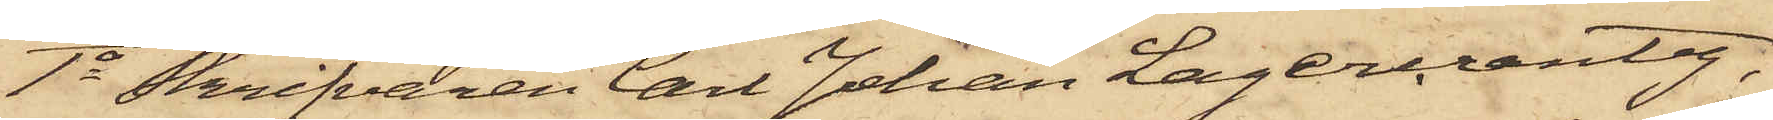1o Skrifvaren Carl Johan Lagercrantz,
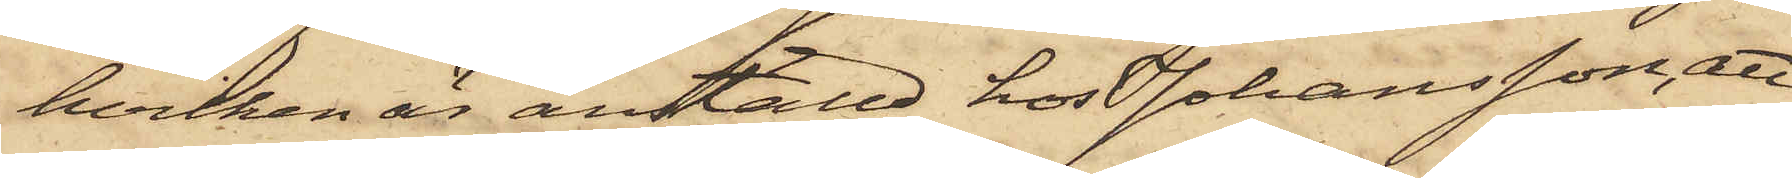hvilken är anställd hos Johansson, att
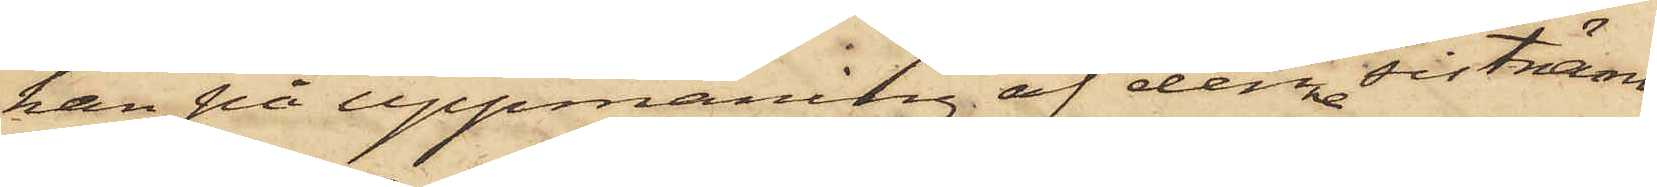han på uppmaning af denne sistnämn¬
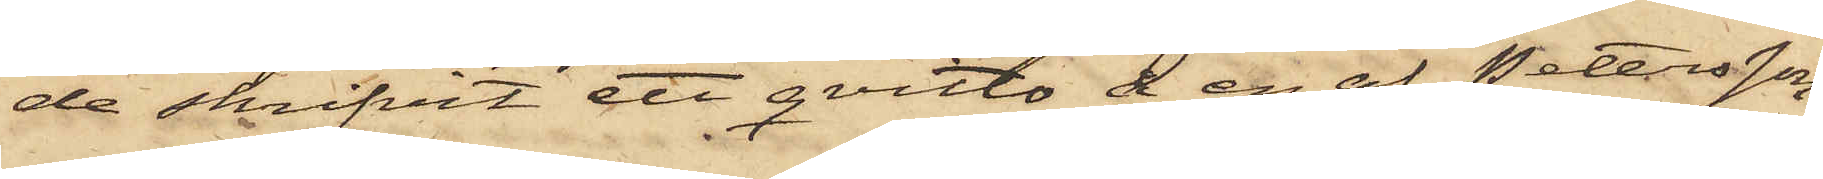de skrifvit ett qvitto å en af Petersson
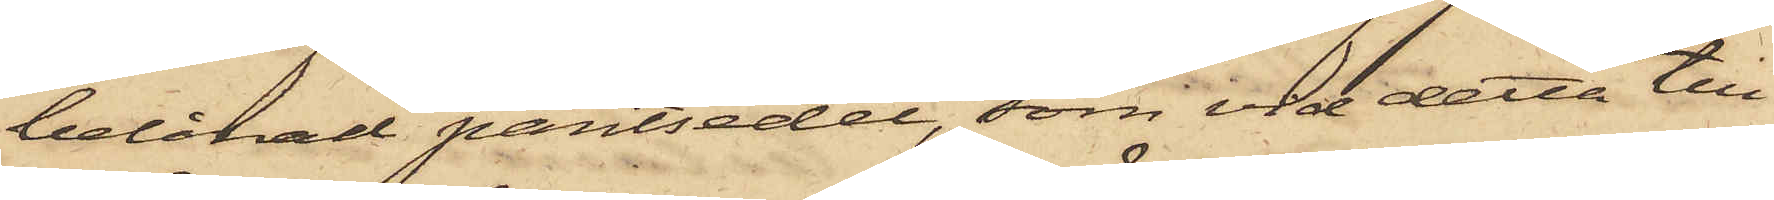belånad pantsedel, som vid detta till¬
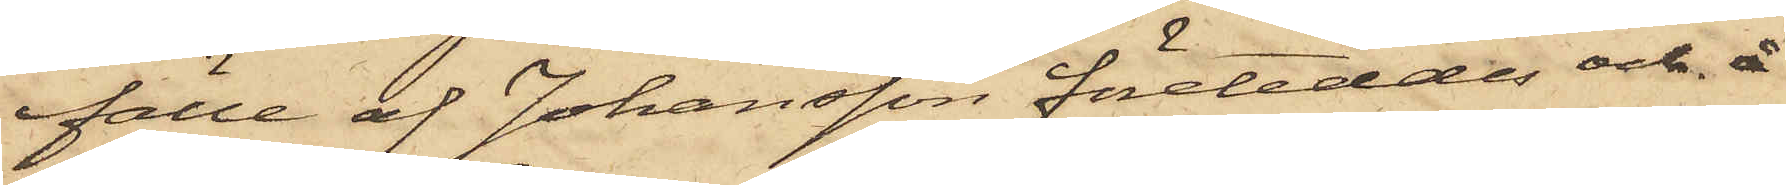fälle af Johansson företeddes och å
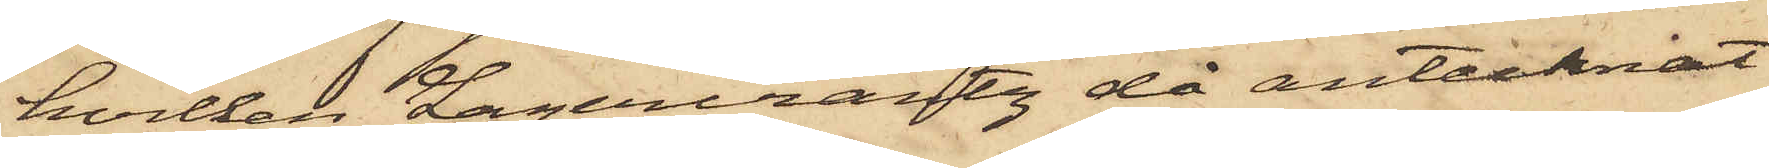hvilken Lagercrantz då antecknat
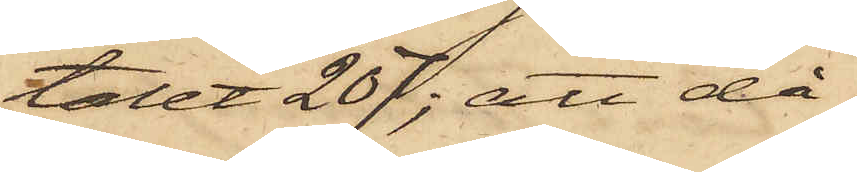talet 207; att då
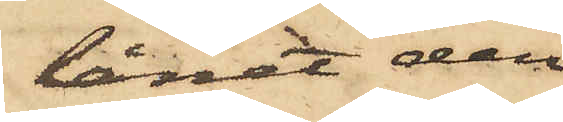lånet den
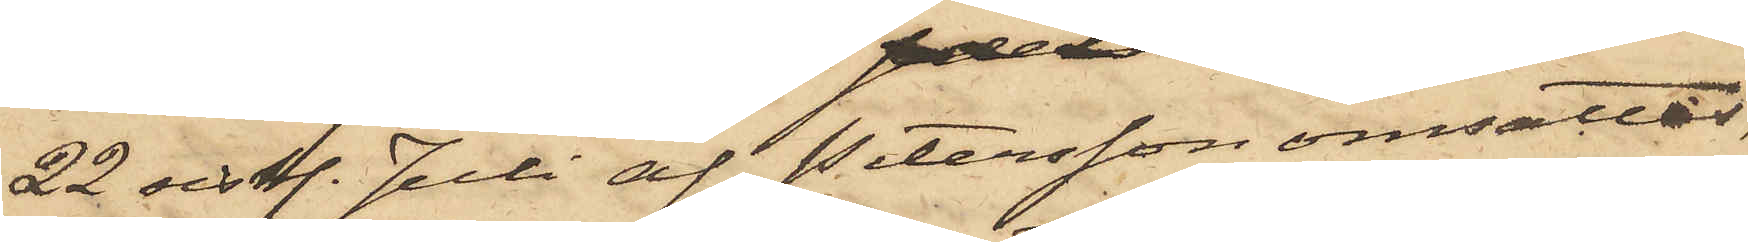22 sist. Juli af Petersson omsattes
